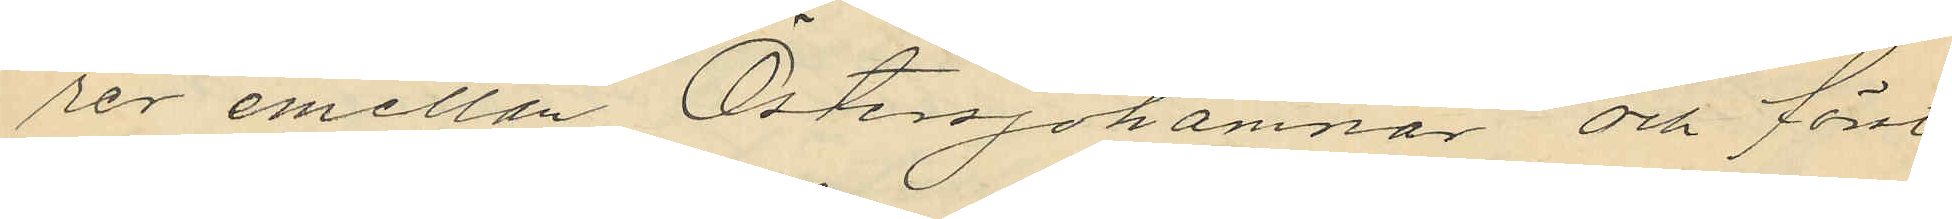rer emellan Östersjöhamnar och först
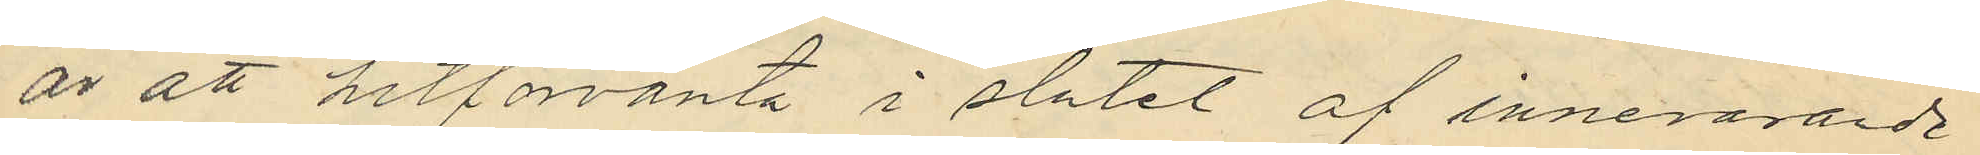är att hitförvänta i slutet af innevarande
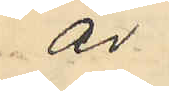år.
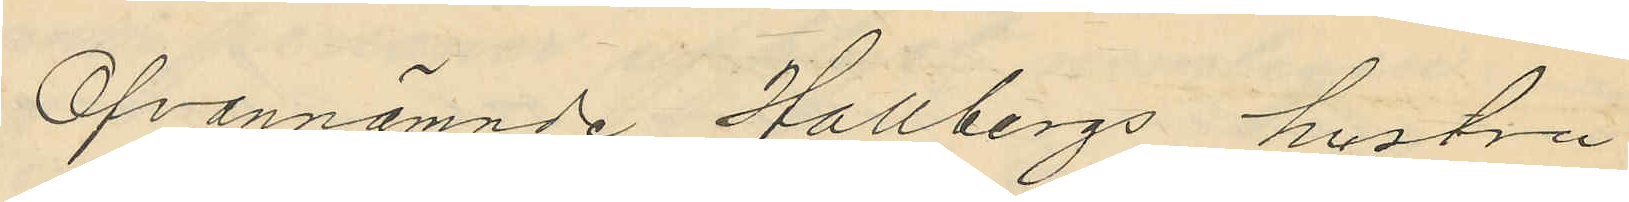Ofvannämnde Hallbergs hustru
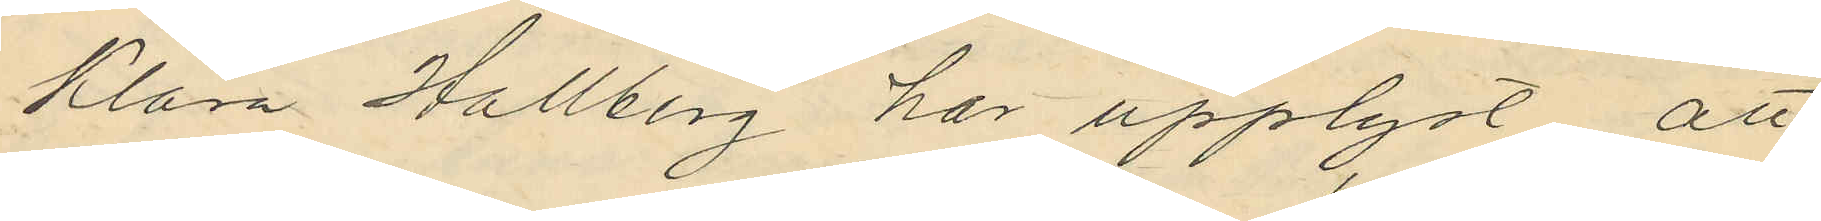Klara Hallberg har upplyst att
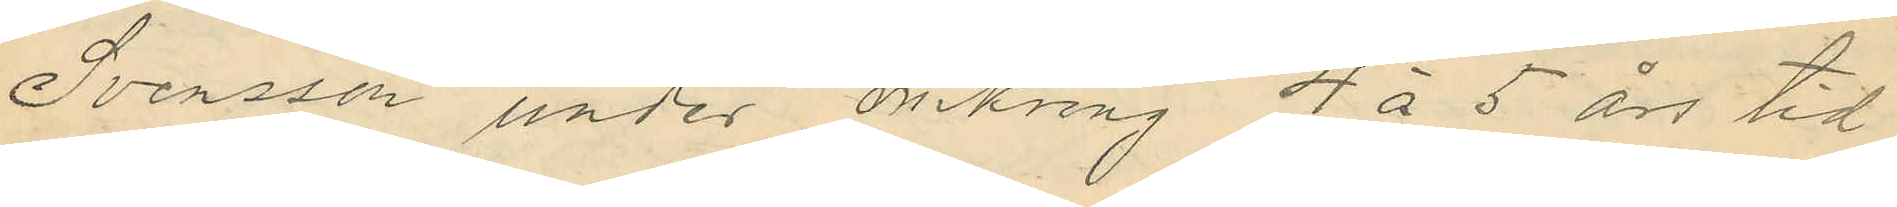Svensson under omkring 4 á 5 års tid
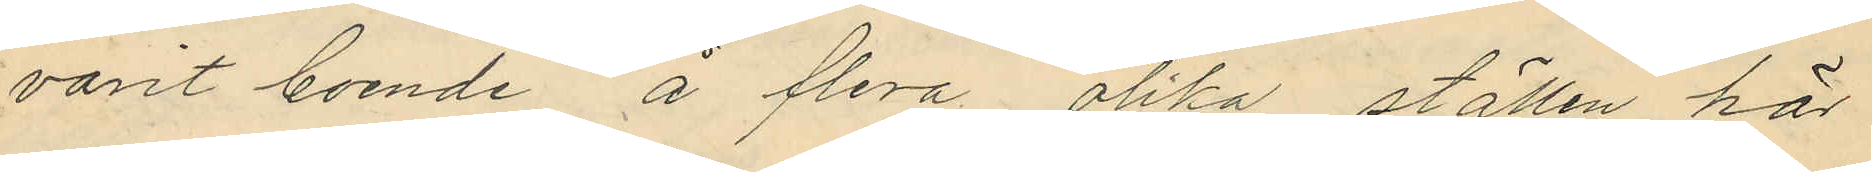varit boende å ftera olika ställen här
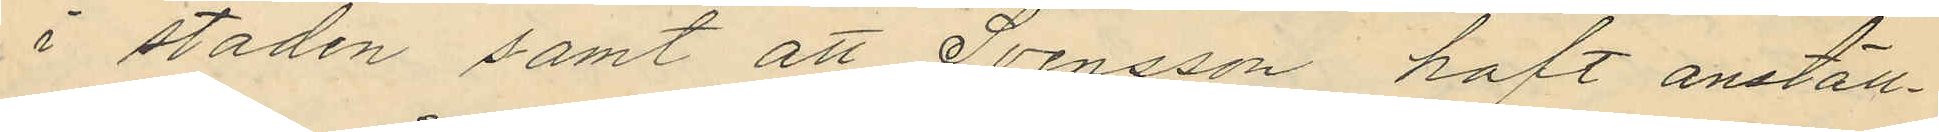i staden samt att Svensson haft anställ¬
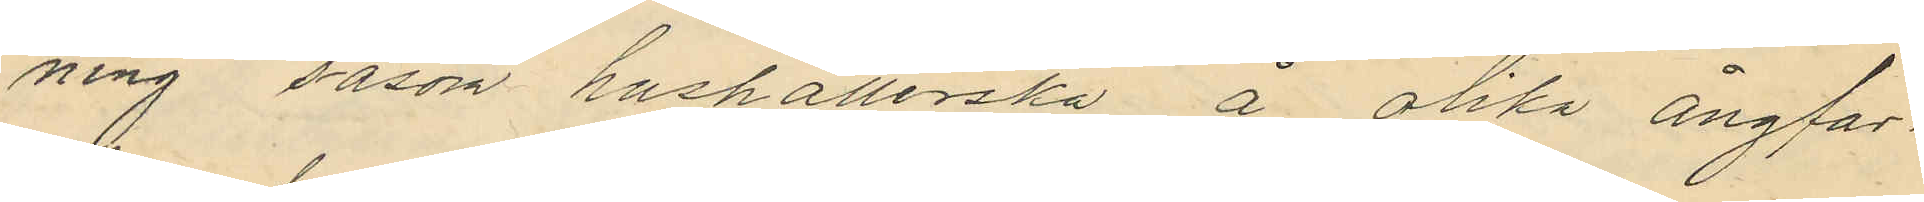ning såsom hushållerska å olika ångfar¬
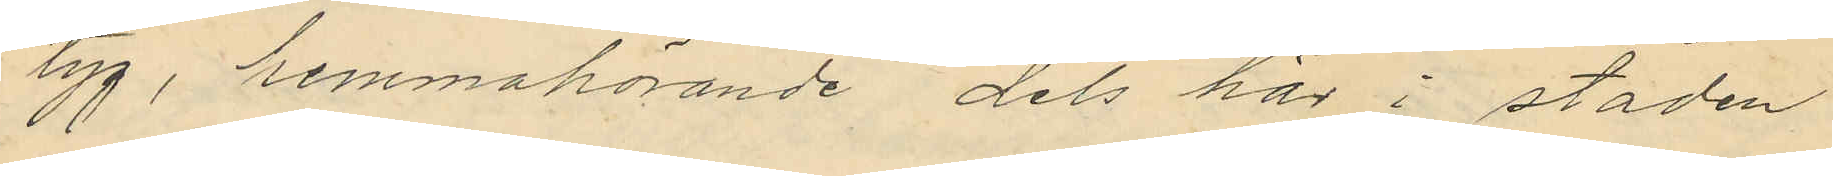tyg, hemmahörande dels här i staden
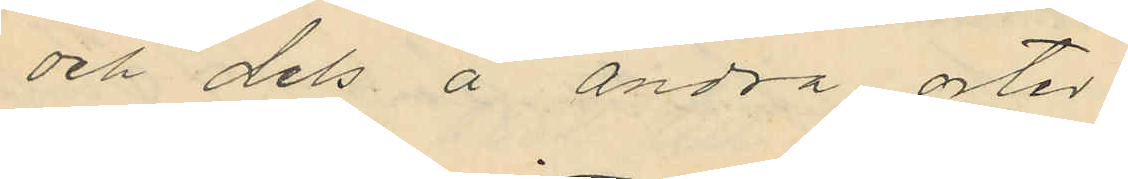och dels å andra orter.
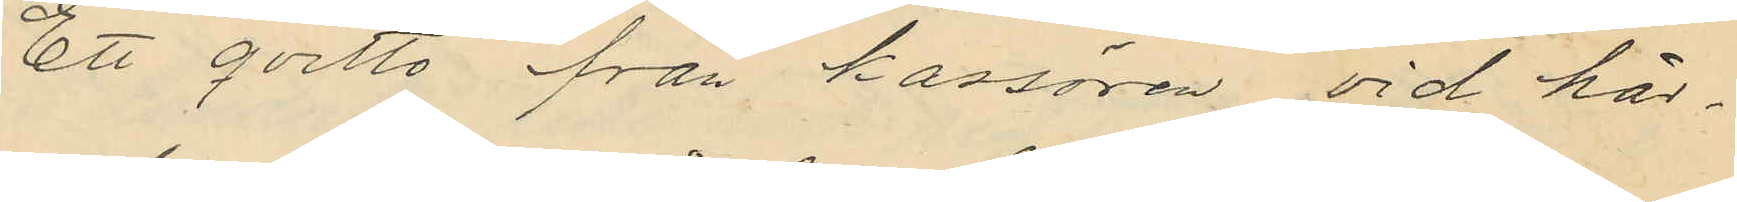Ett qvitto från kassören vid här¬
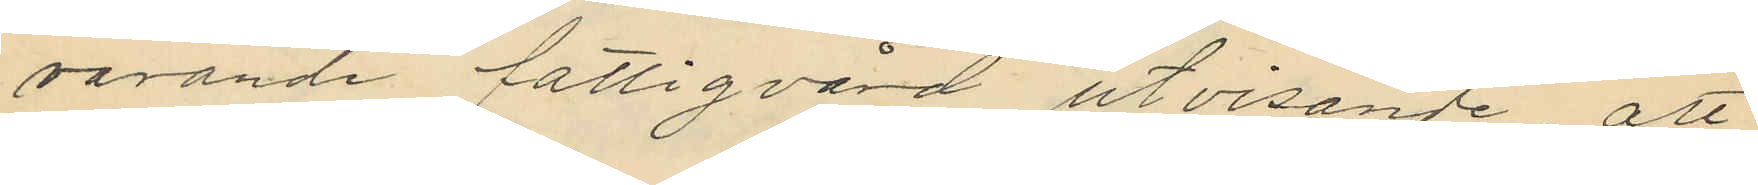varande fattigvård utvisande att
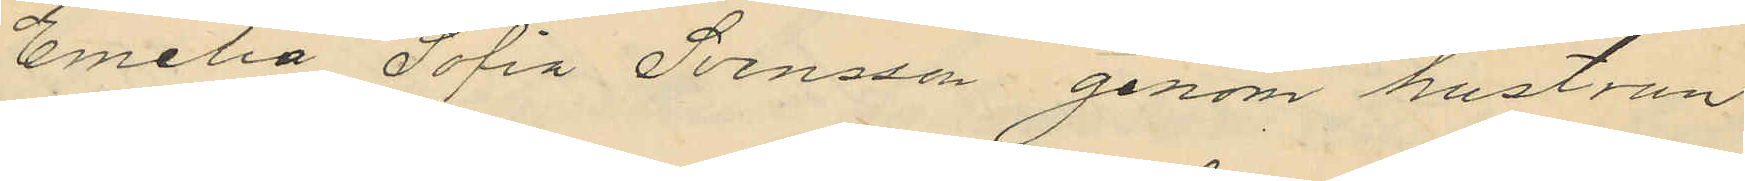Emelia Sofia Svensson genom hustrun
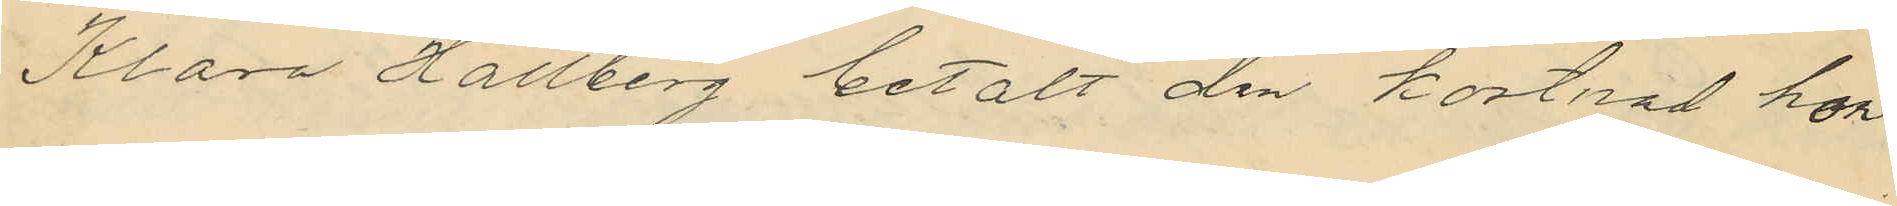Klara Hallberg betalt den kostnad hon
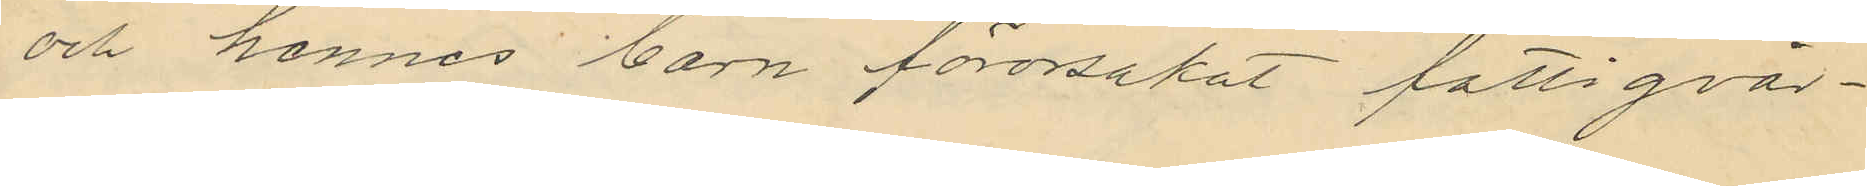och hennes barn förorsakat fattigvår¬
